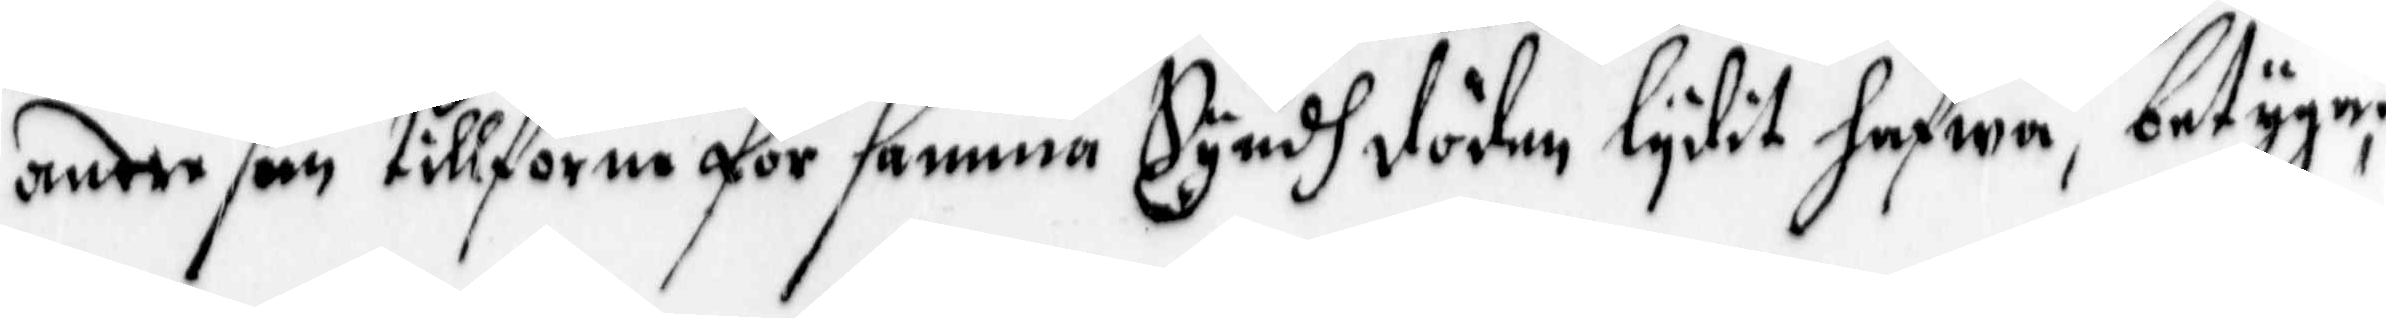andre som tillförne för samma Syndh döden lydit hafwa, betygar
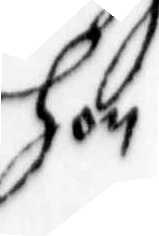hon
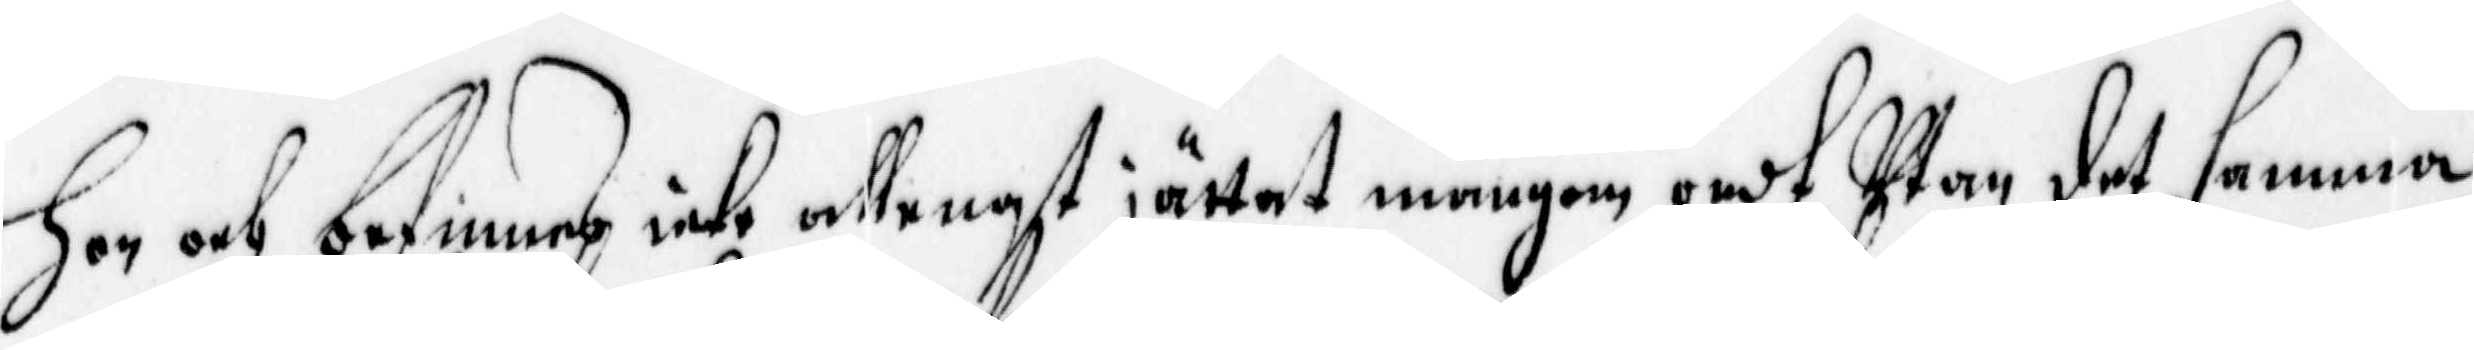hon och befinnes icke allenast jättat mångom ondt, Utan det samma
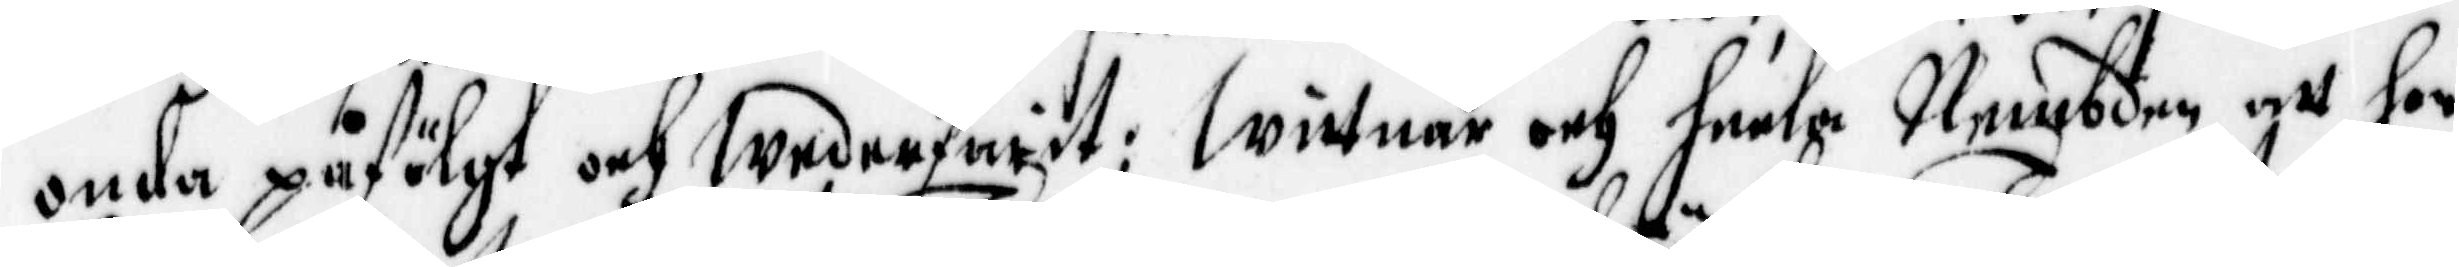onda påfölgt och wederfarit; Wittnar och heela Nembden, att hon
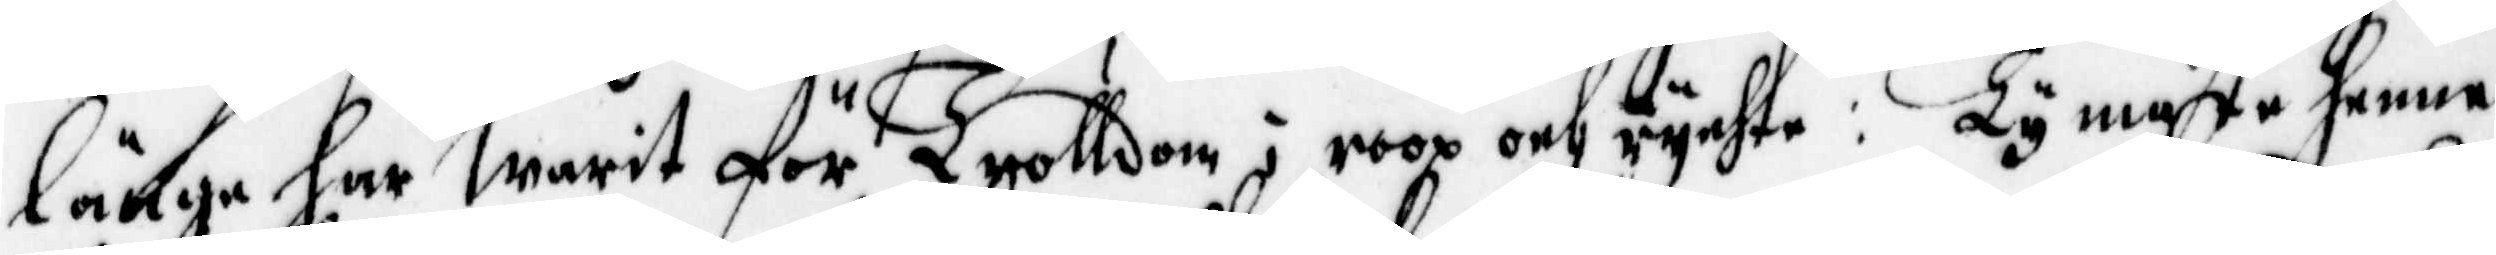länge har Warit för Trolldom i roop och rychte: ty måste henne
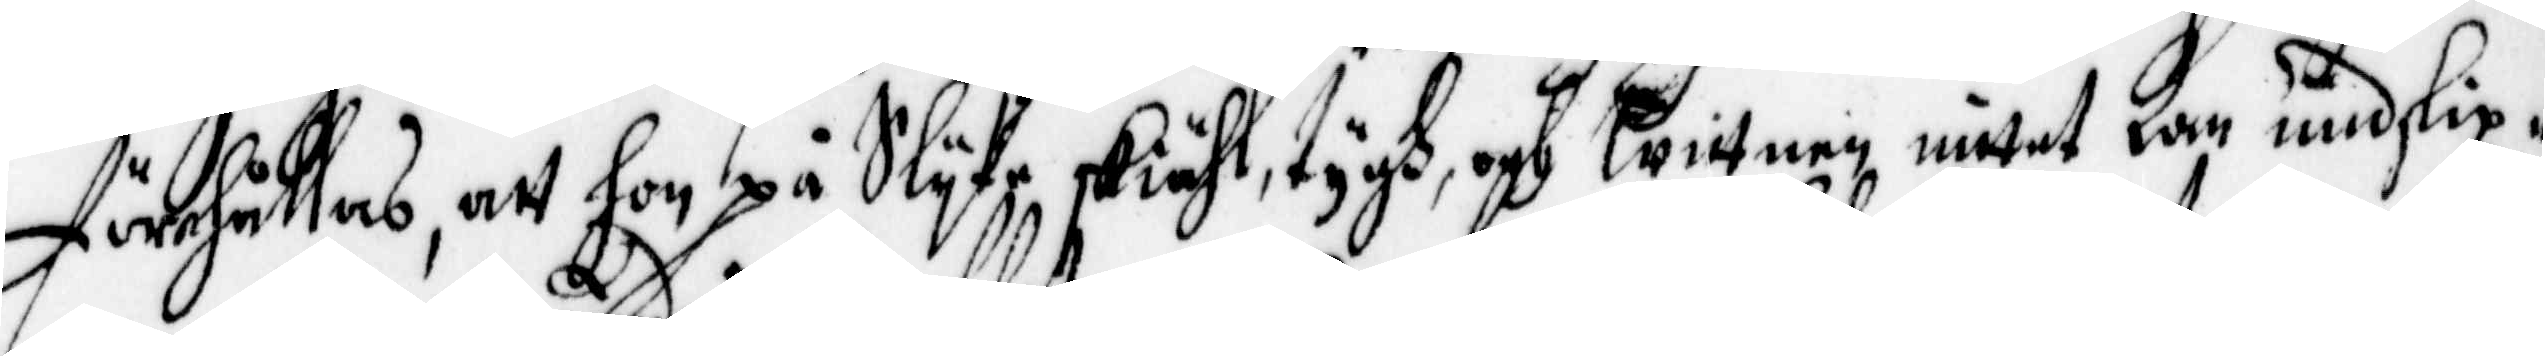förehållas, att hon på Slyke Skiähl, tygh och Wittnen intet Kan unslip¬
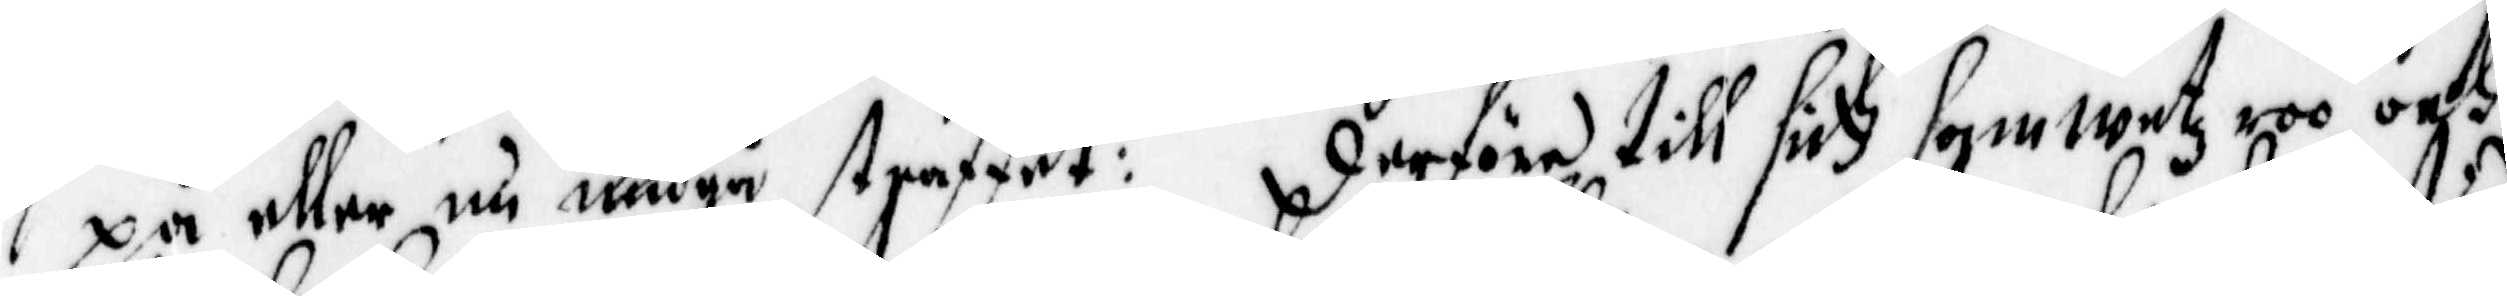pa eller nu undgå straffet: derföre till sin samwetz roo och
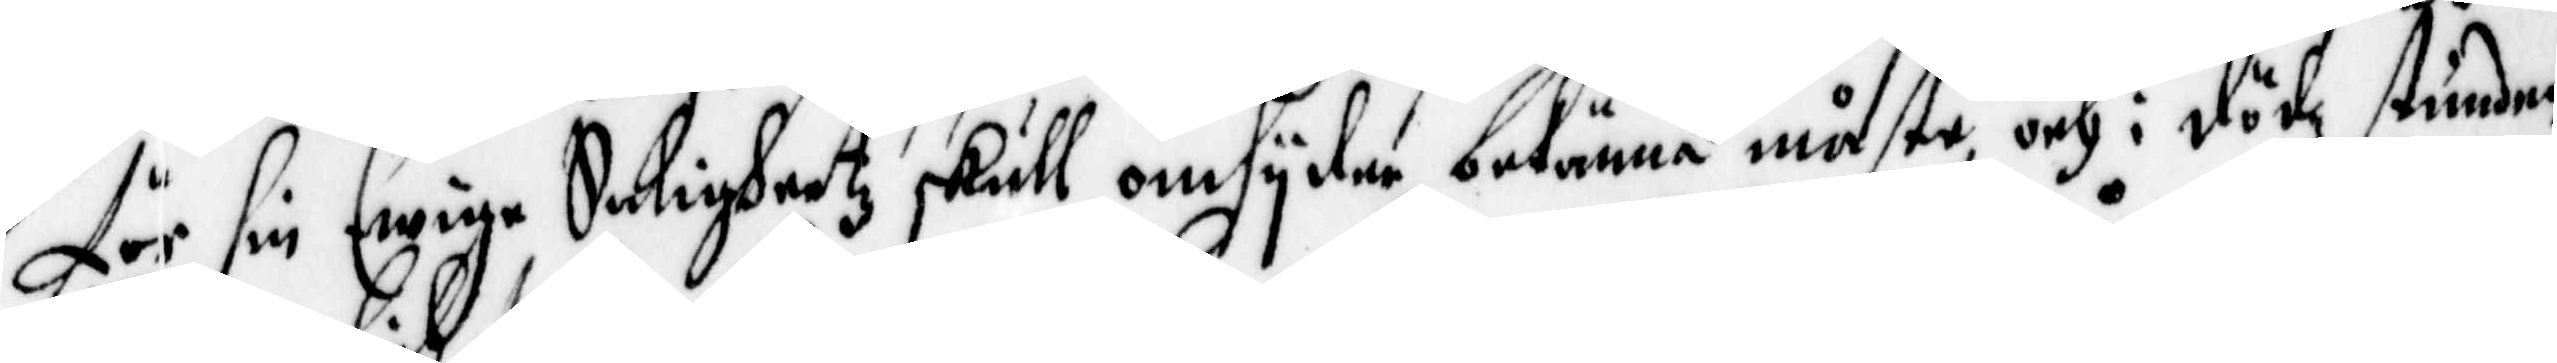för sin Ewige Saligheetz skull omsyder bekänna måste och i dödz stunden
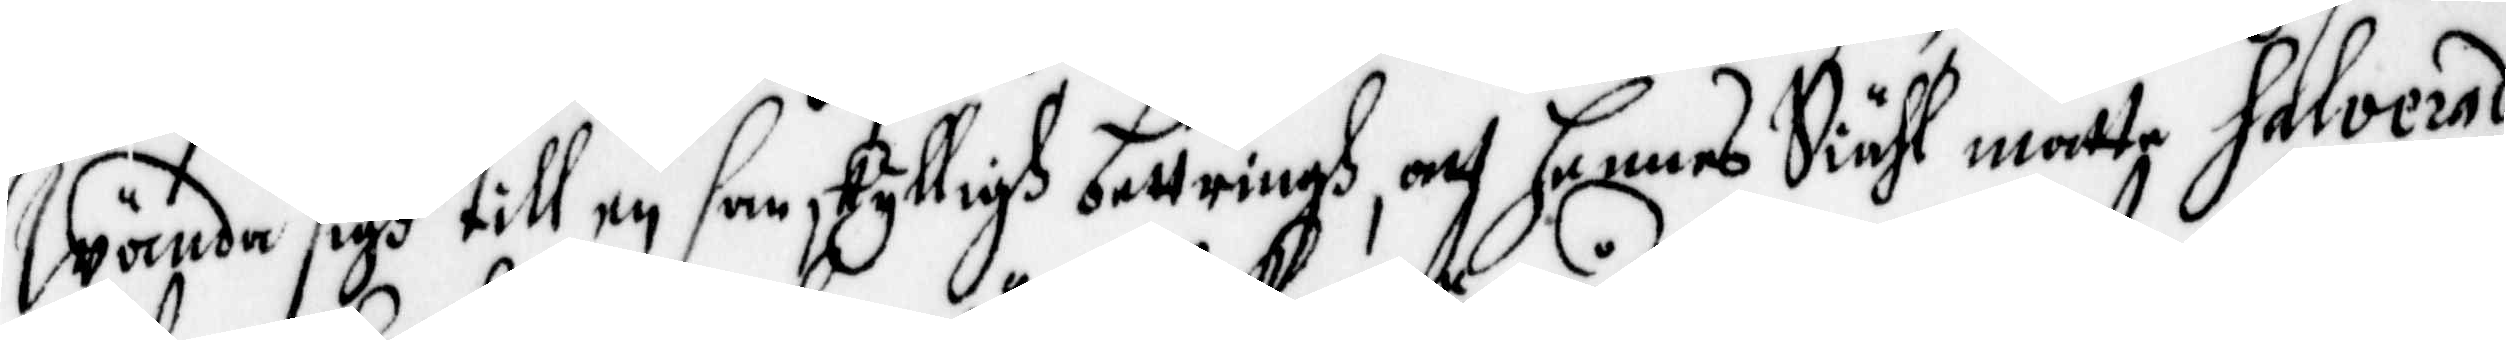Wända sigh till en samskylligh bettringh, och hennes Siähl måtte Salverad
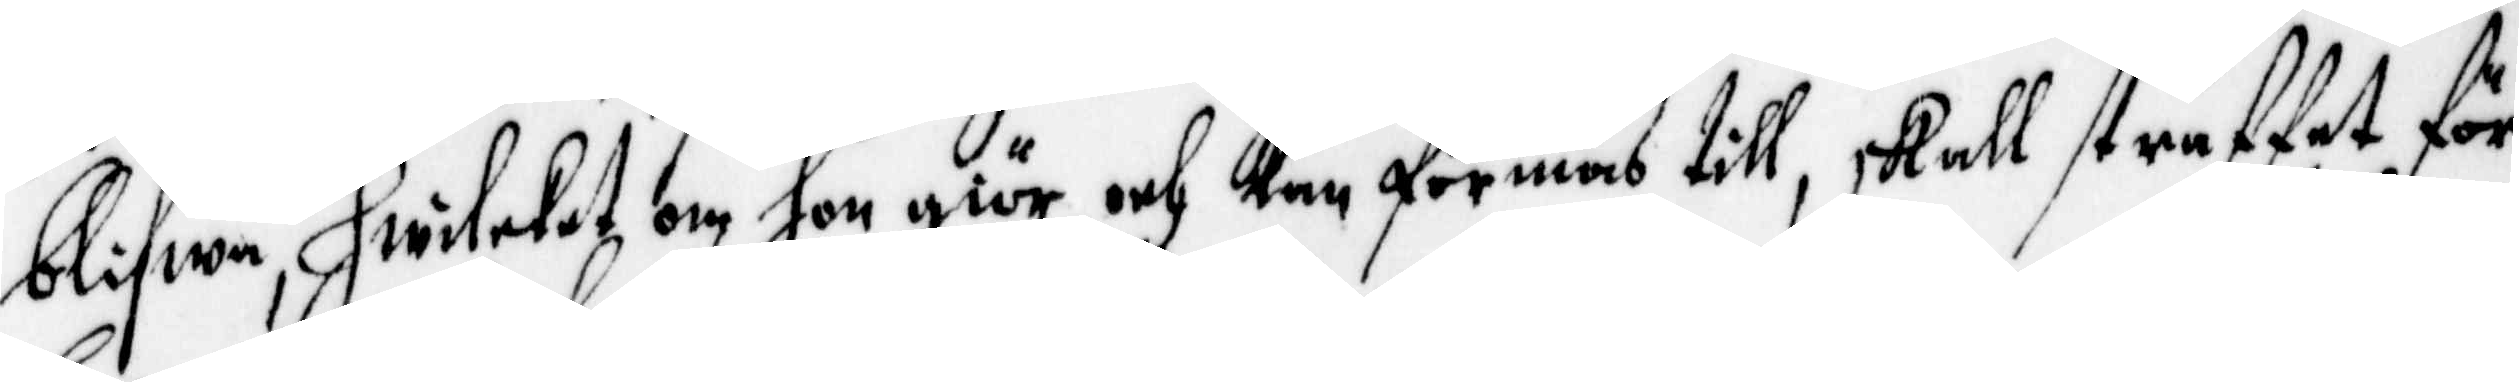blifwa, hwilcket om hon giör, och kan förmås till, skall straffet för henne 
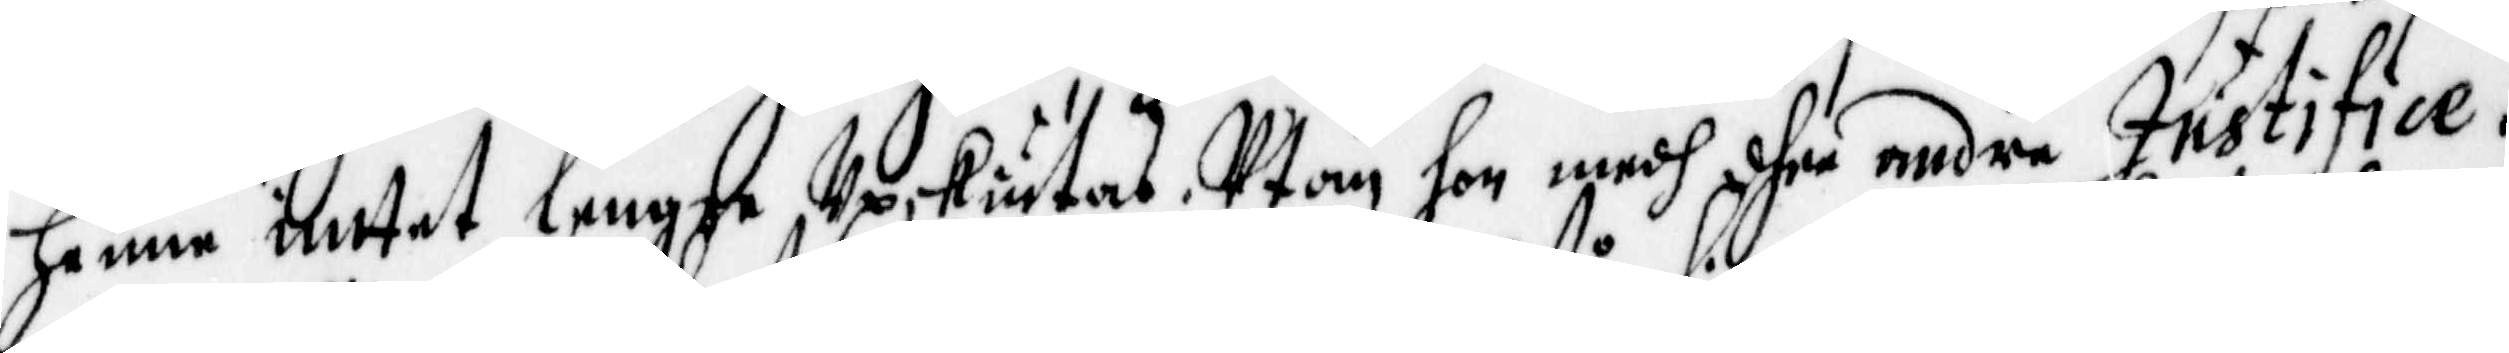intet lengre Upskiutas; Utom hon medh dhee andre Justifice¬
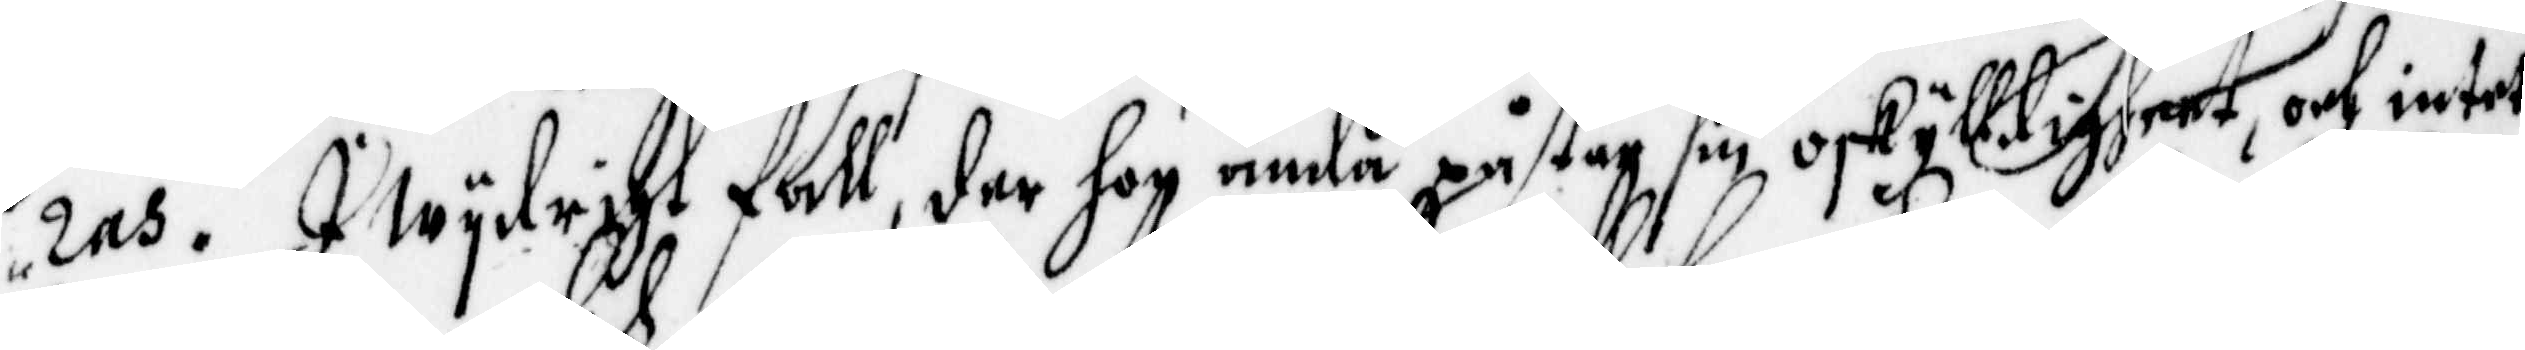ras. I Wydrigt fall, der hon ändå påstår sin oskylldigheet, och intet
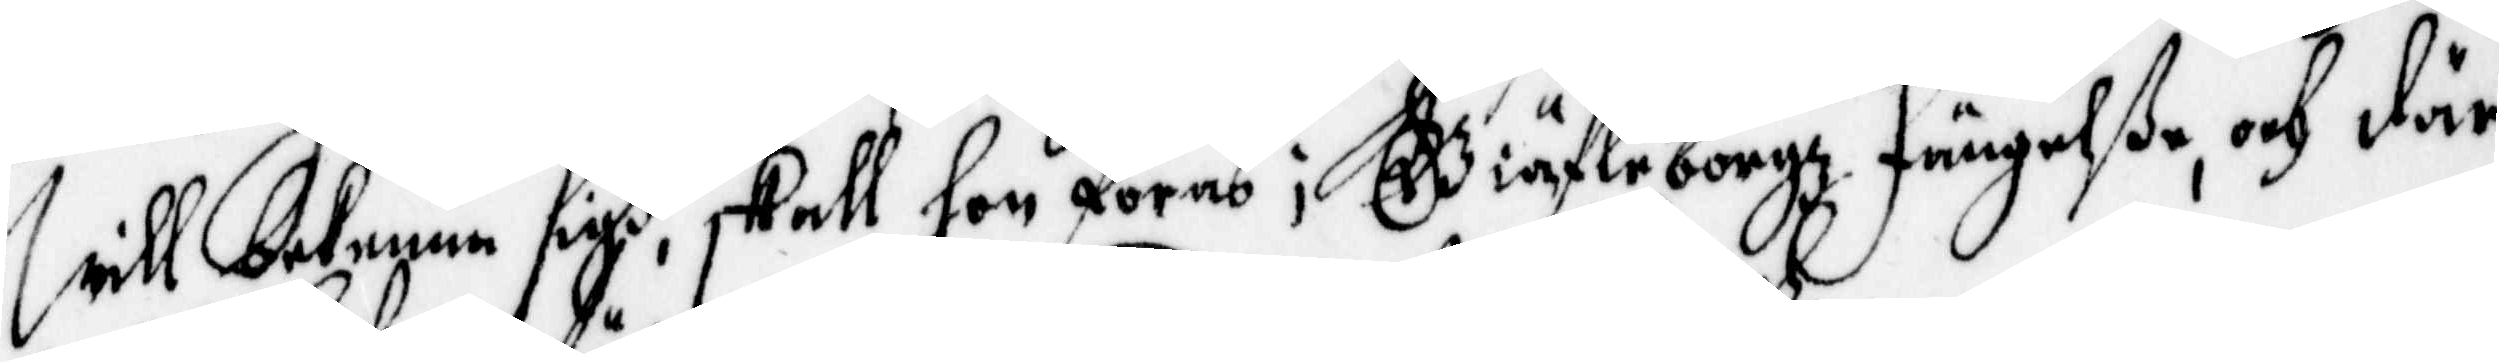will bekenna sigh, skall hon föras i Giäfleborgz fängelße, och där
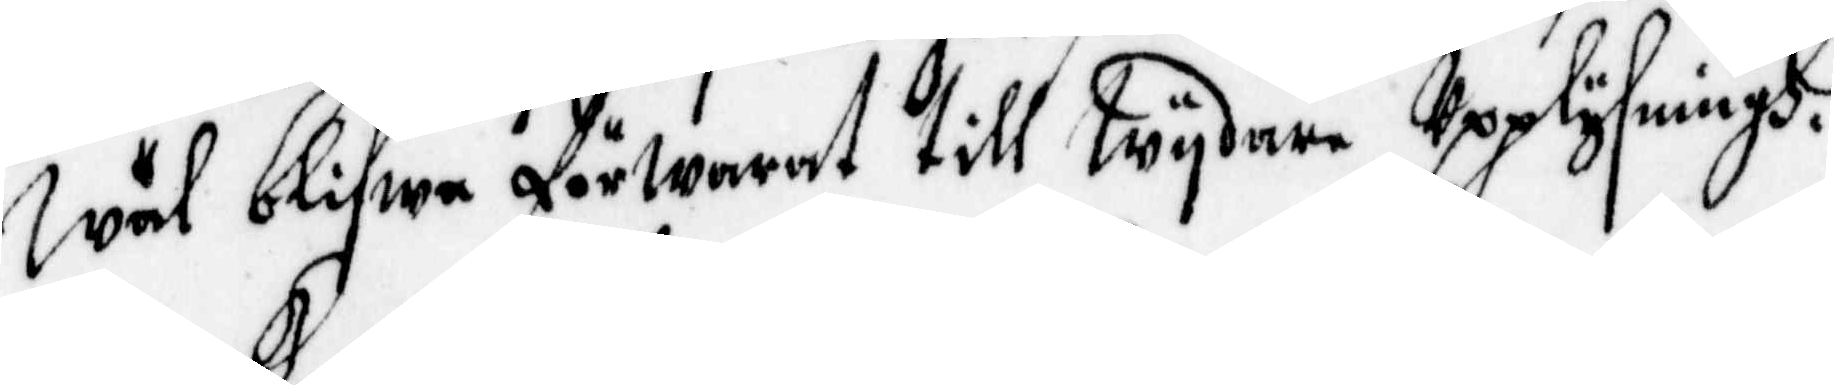wäl blifwa förwarat till wydare Upplysningh.
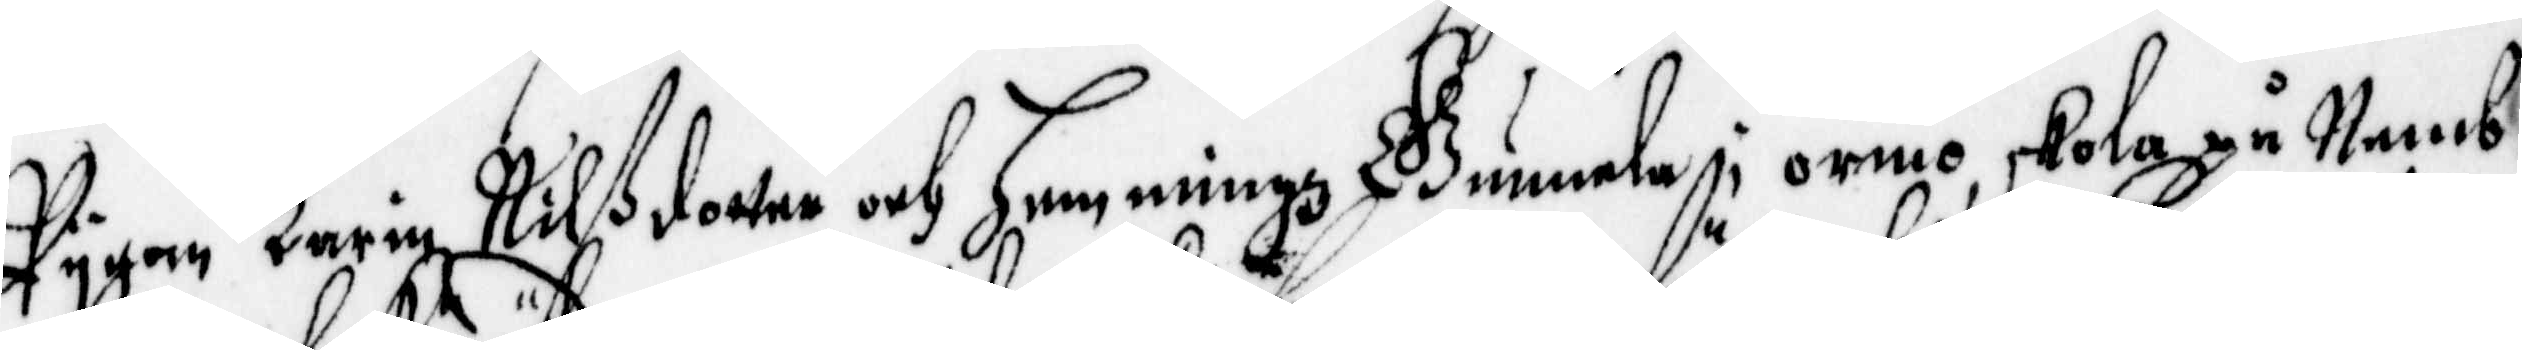Pygan Karin Nilßdotter och Hemmingz Gunnela i ormo, skola på Nemb¬
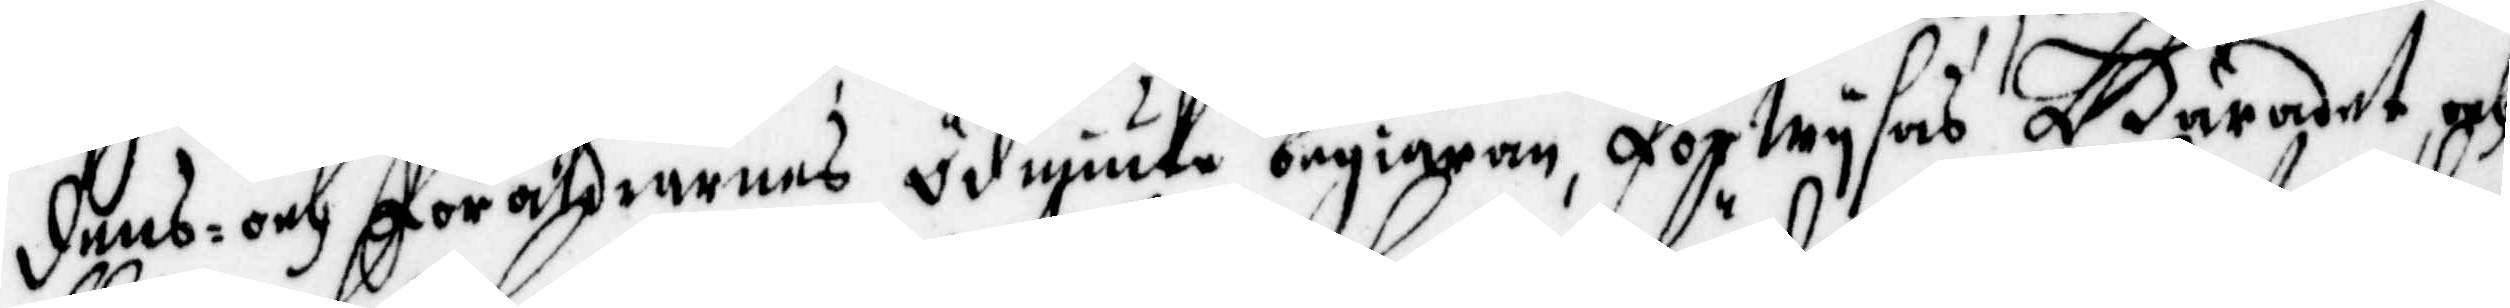dens och föräldrarnas ödmiuke begiäran, förwysas Häradet och
